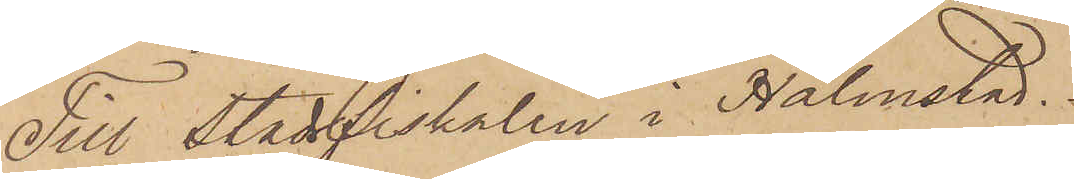Till Stadsfiskalen i Halmstad.
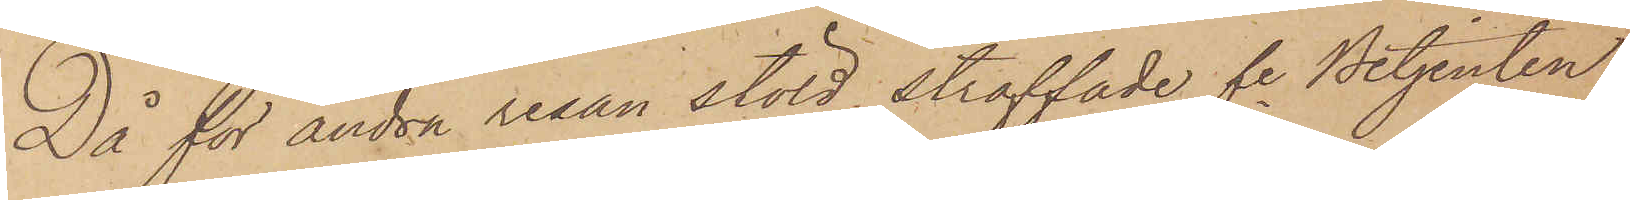Då för andra resan stöld straffade fe Betjenten
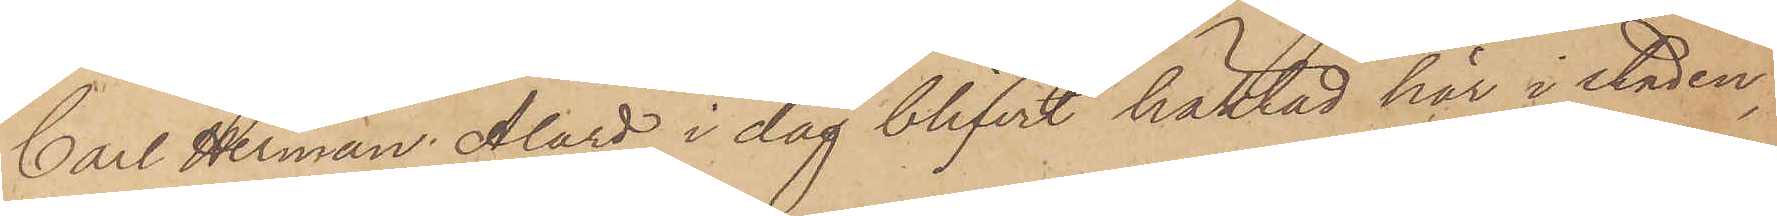Carl Herman Alard i dag blifvit häktad här i staden,
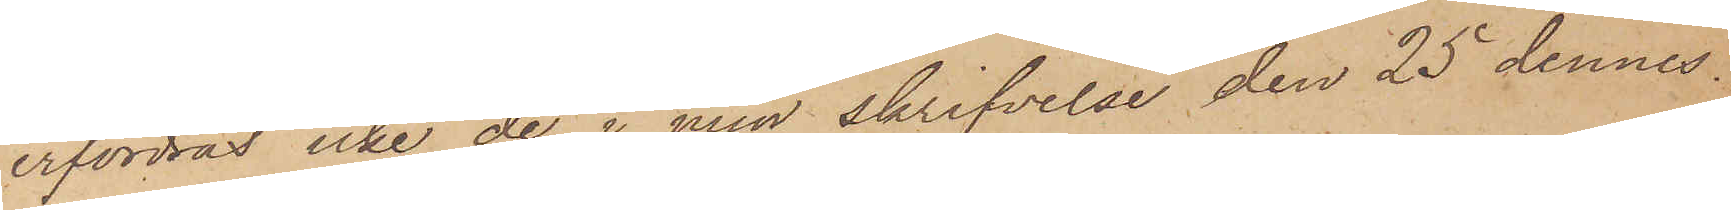erfordras icke de i min skrifvelse den 25 dennes
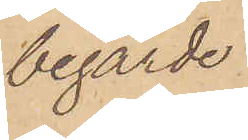begärde
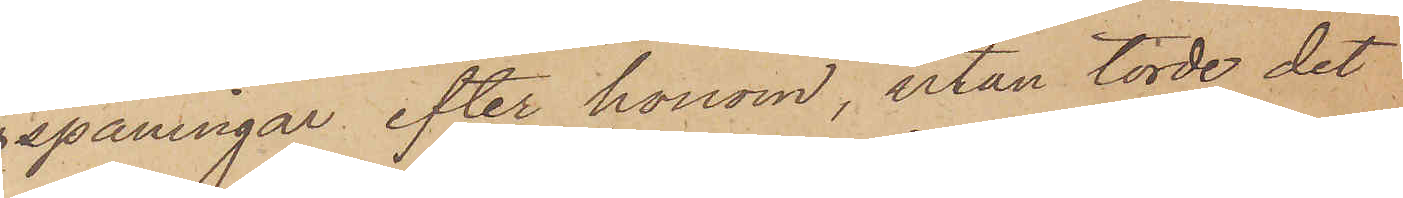spaningar efter honom, utan torde det
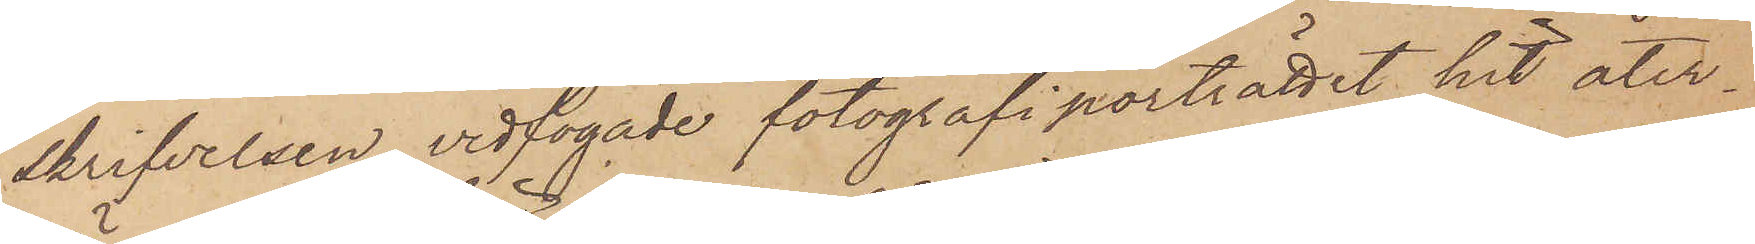skrifvelsen vidfogade fotografiporträttet hit åter¬
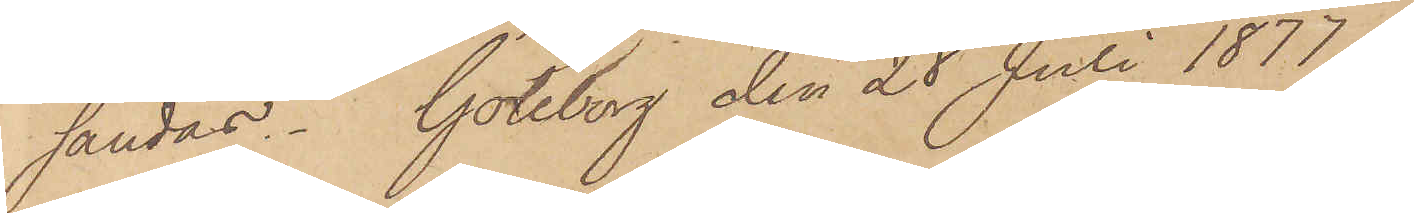sändas. Göteborg den 28 Juli 1877.
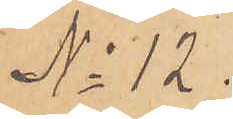No 12.
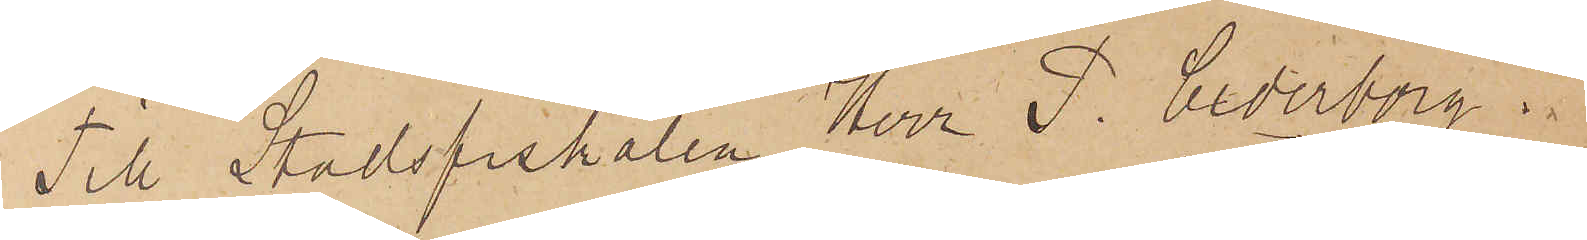Till Stadsfiskalen Herr P. Cederborg.
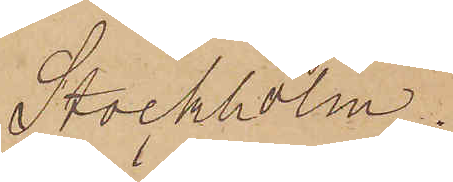Stockholm.
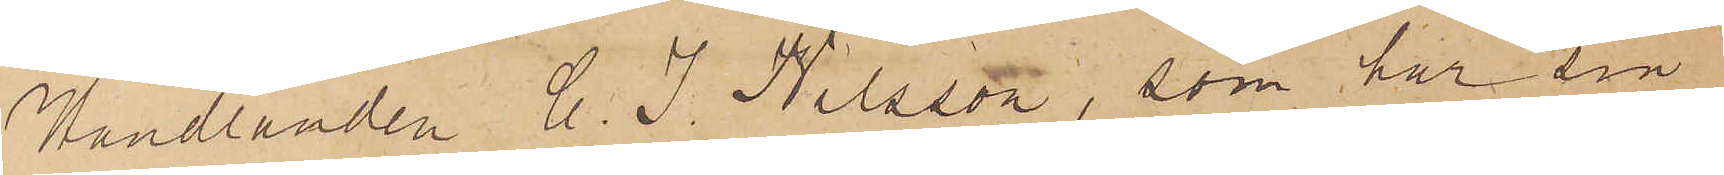Handlanden C. J. Nilsson, som har sin
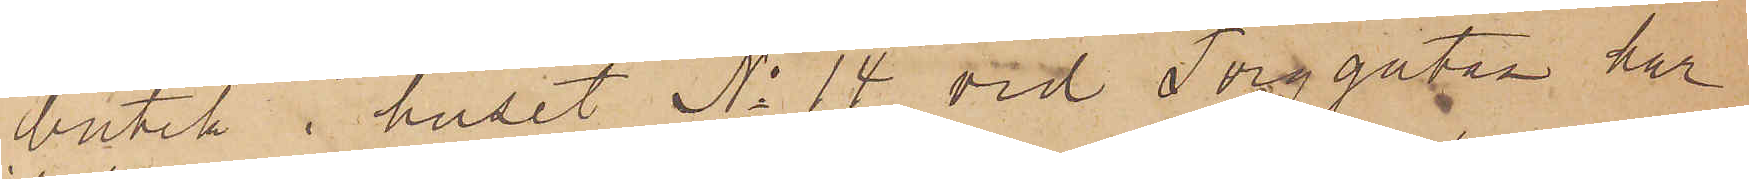butik i huset No 14 vid Torggatan har
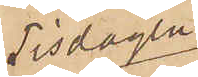Tisdagen
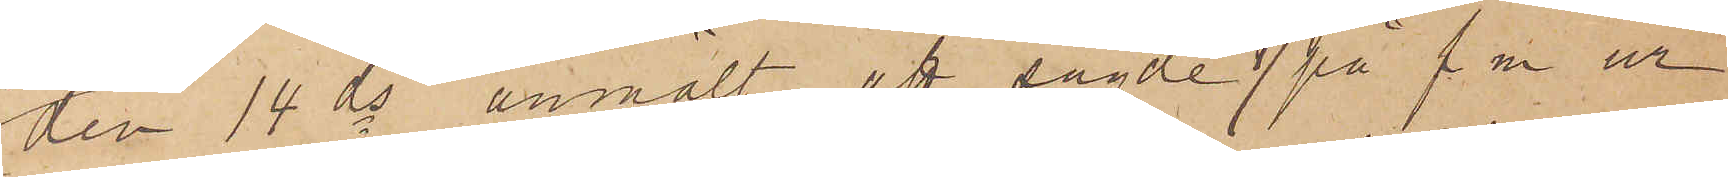den 14 ds anmält att sagde dag på f.m. ur
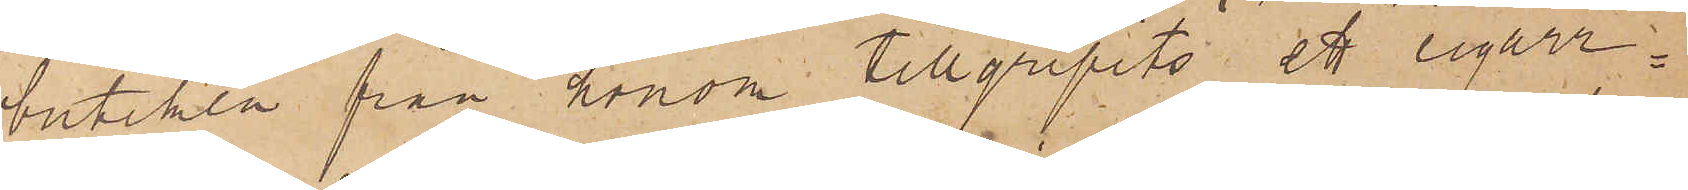butiken från honom tillgripits ett cigarr¬
